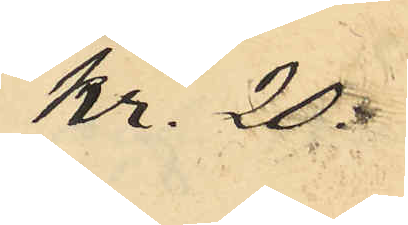Kr. 20:
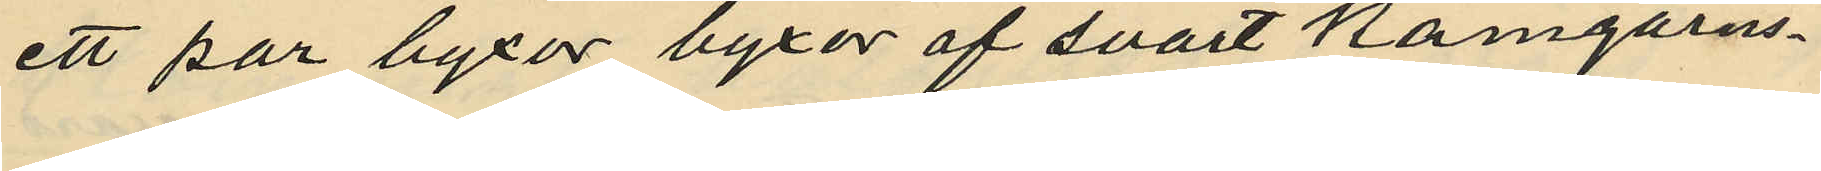ett par byxor byxor af svart kamgarns¬
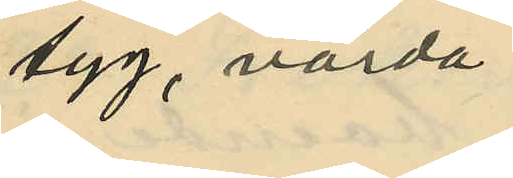tyg, värda
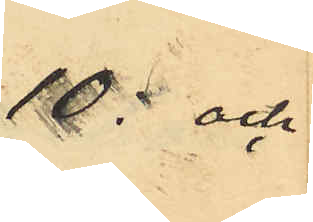10: och
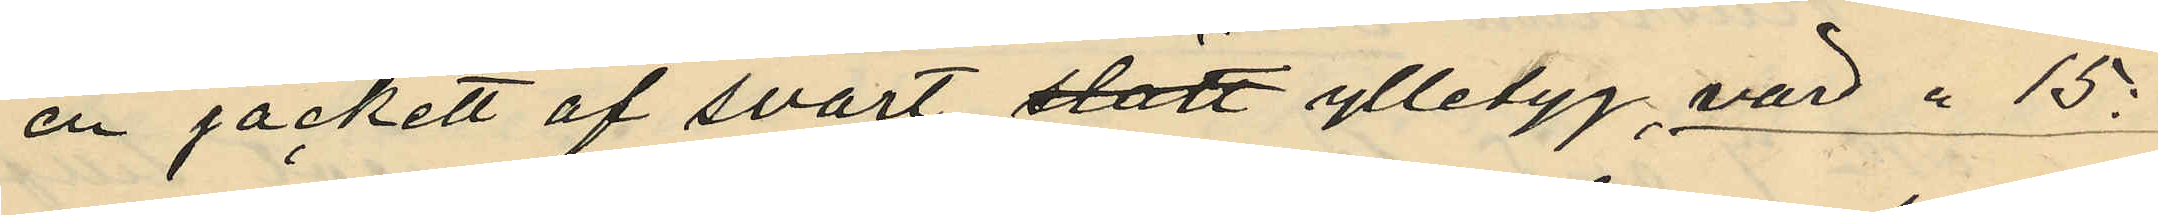en jackett af svart slätt ylletyg, värd " 15:
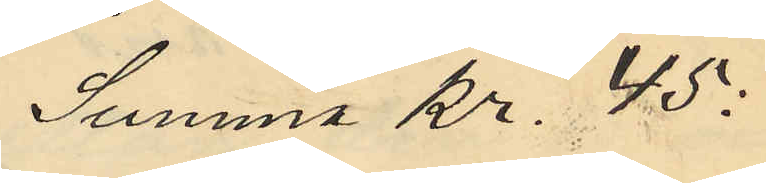Summa Kr. 45:
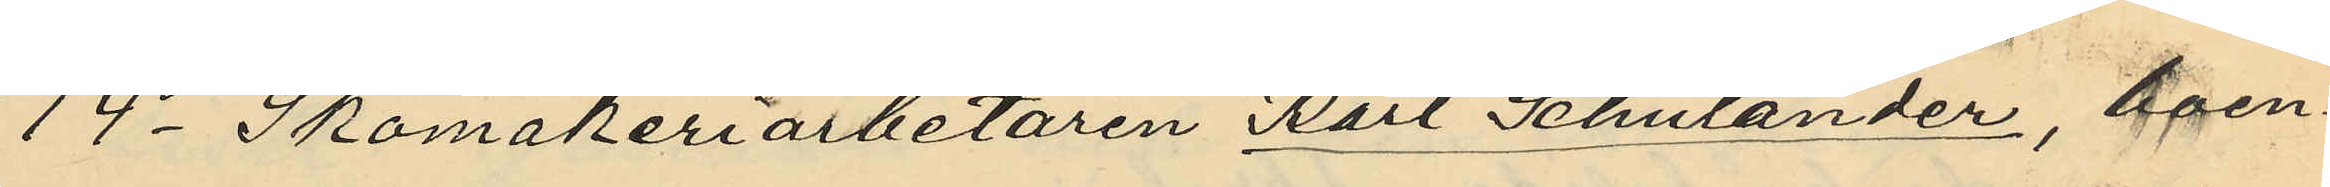14o Skomakeriarbetaren Karl Shulander, boen¬
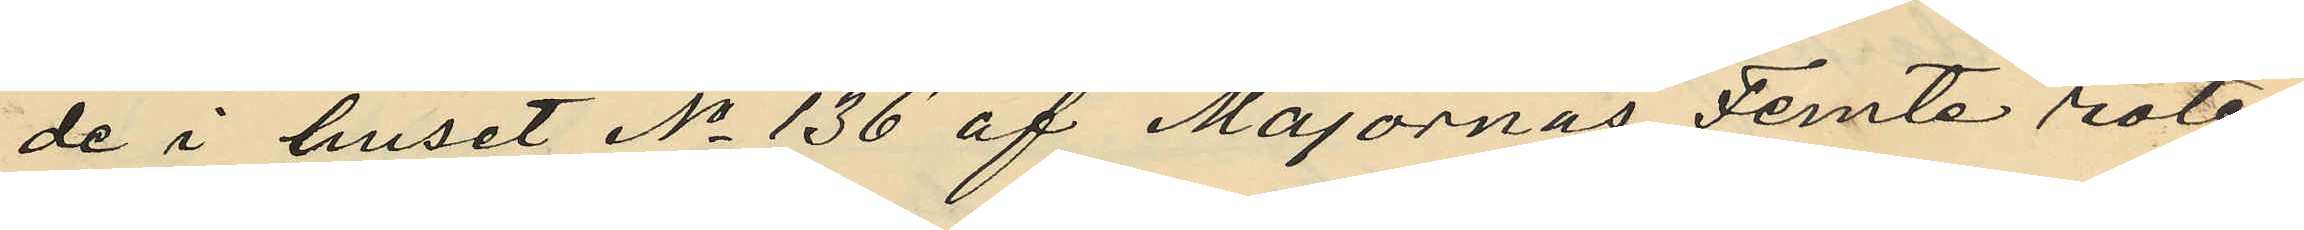de i huset No 136 af Majornas Femte rote,
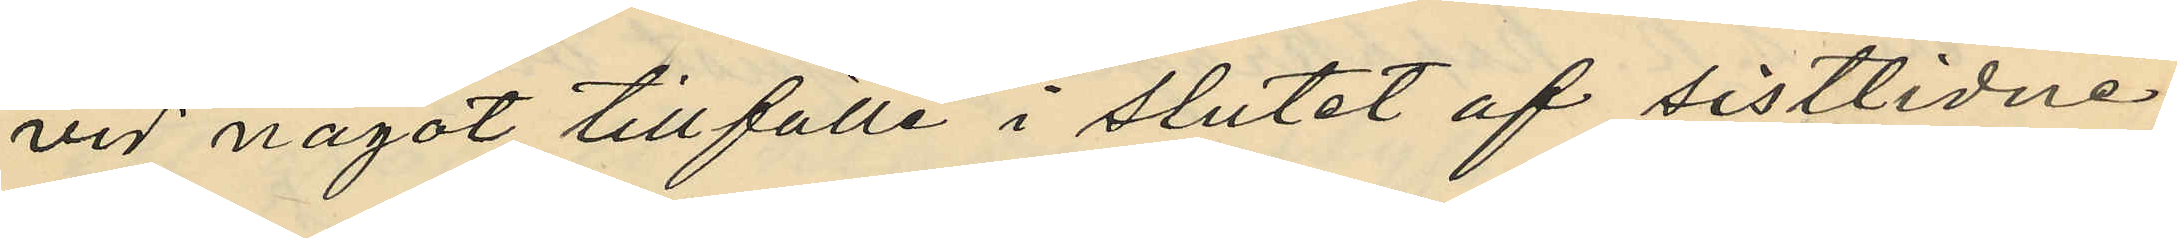vid något tillfälle i slutet af sistlidne
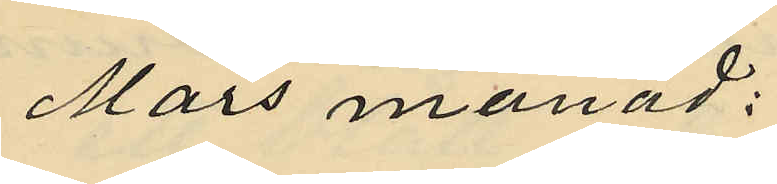Mars månad;
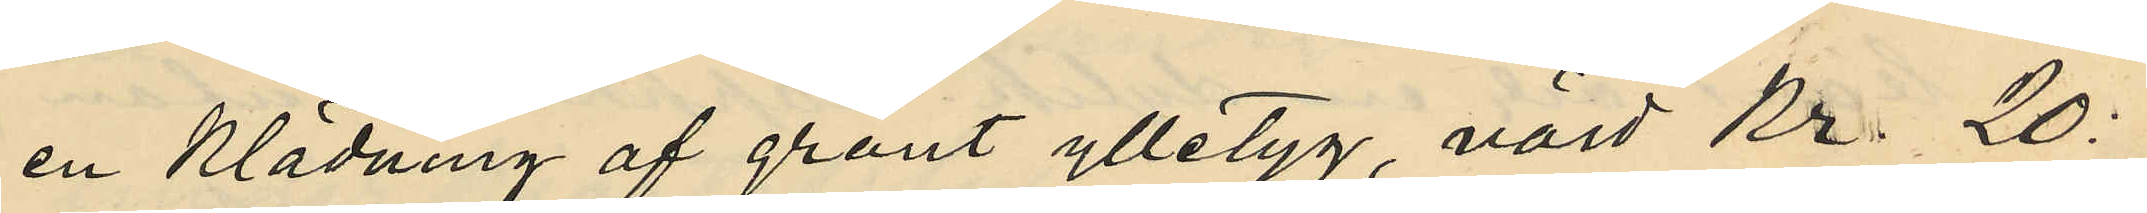en klädning af grönt ylletyg värd Kr. 20:
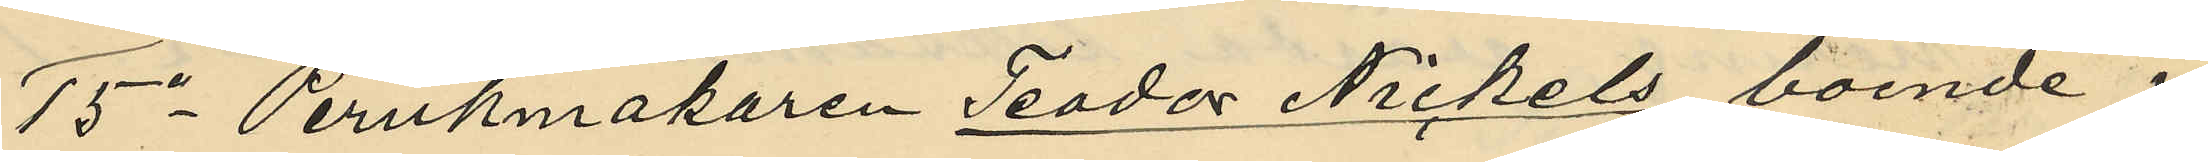15o Perukmakaren Teodor Nickels boende i
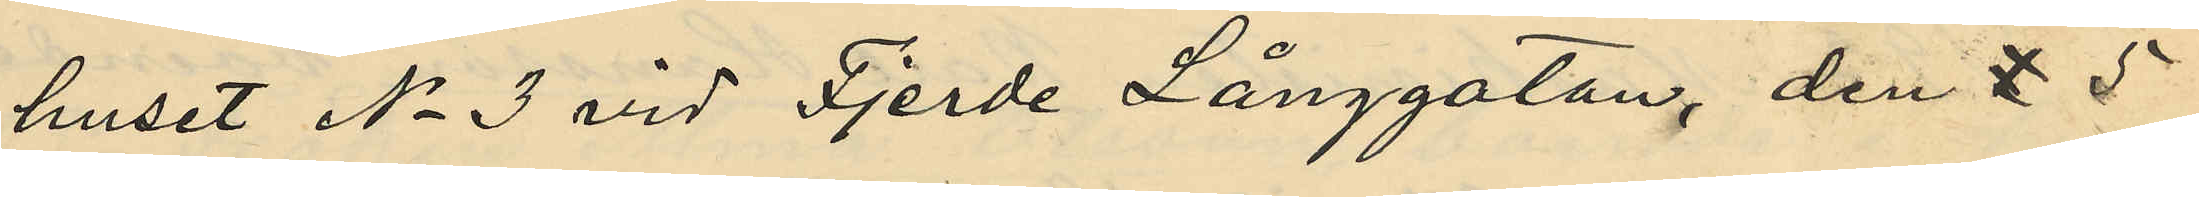huset No 3 vid Fjerde Långgatan, den 5
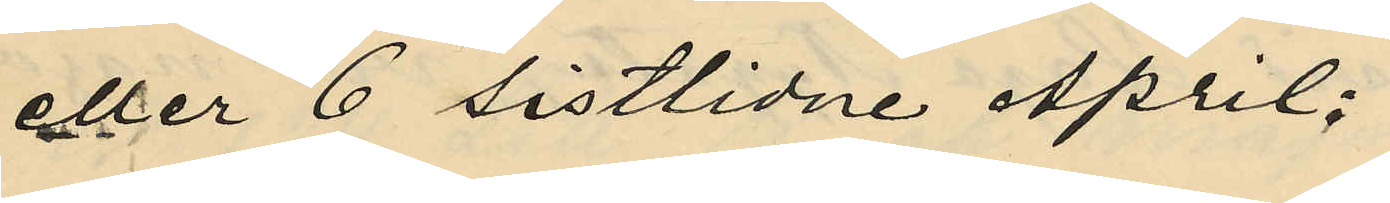eller 6 sistlidne April;
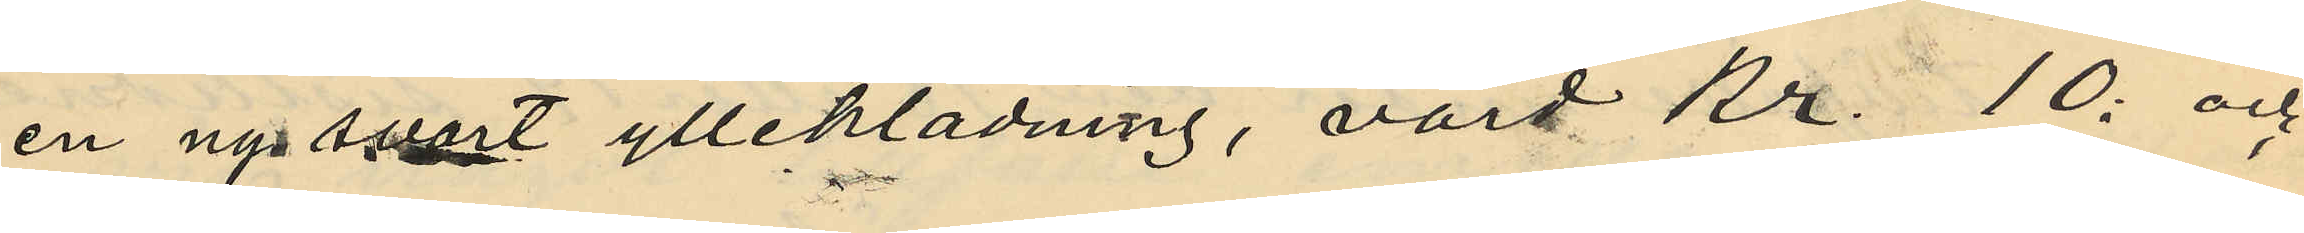en ny svart ylleklädning, värd Kr. 10: och
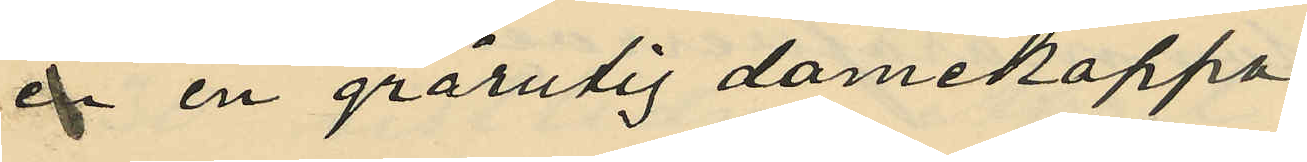ån en grårutig damekappa
